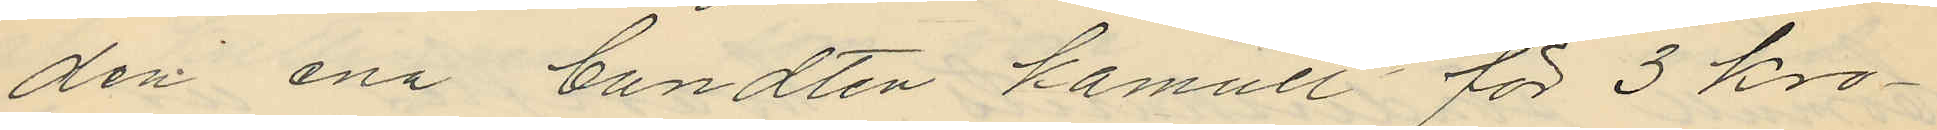den ena bundten kamull för 3 kro¬
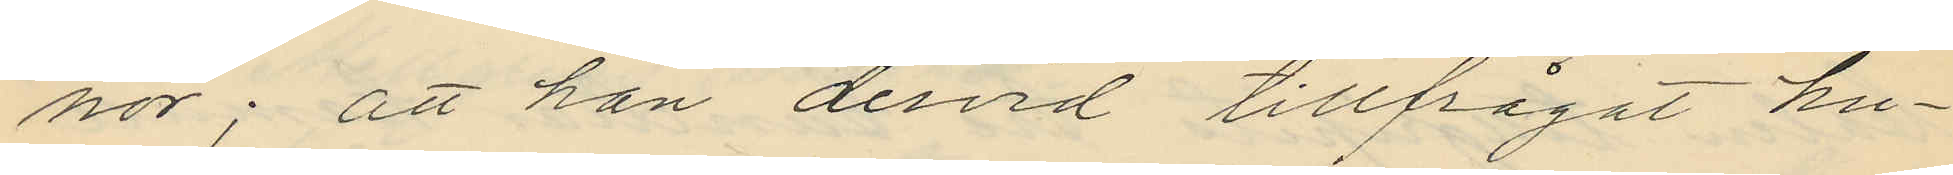nor; att han dervid tillfrågat hu¬
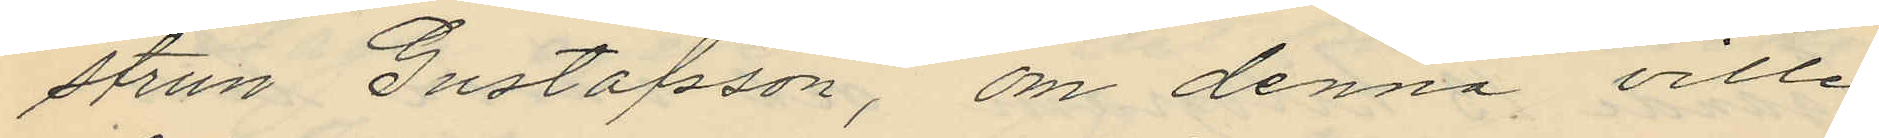strun Gustafsson, om denna ville
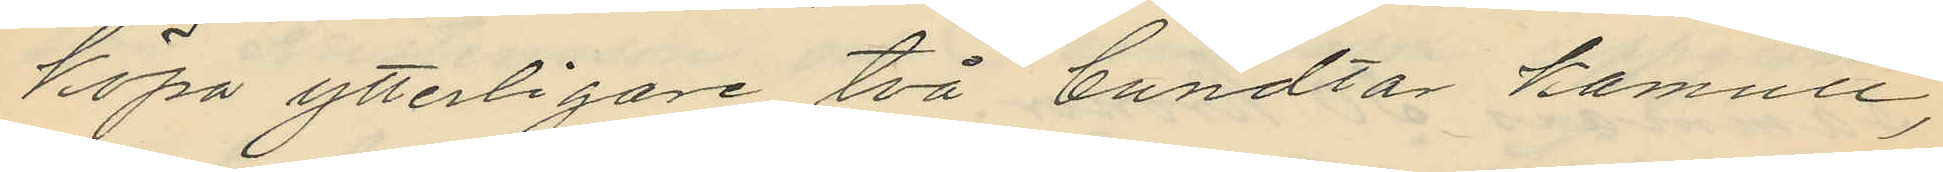köpa ytterligare två bundtar kamull,
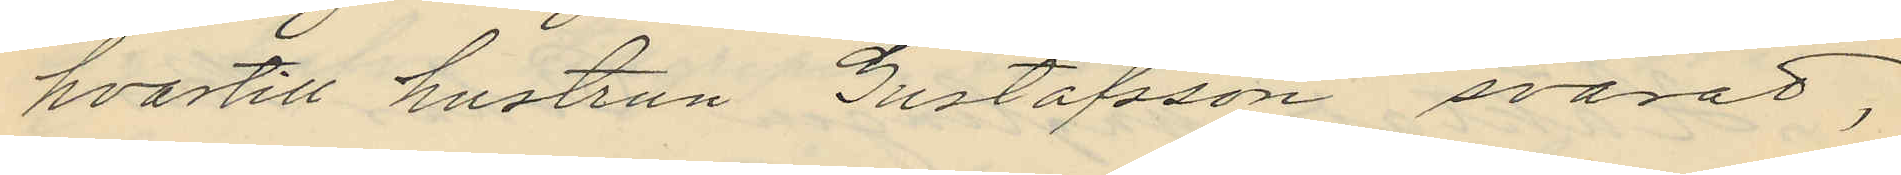hvartill hustrun Gustafsson svarat,
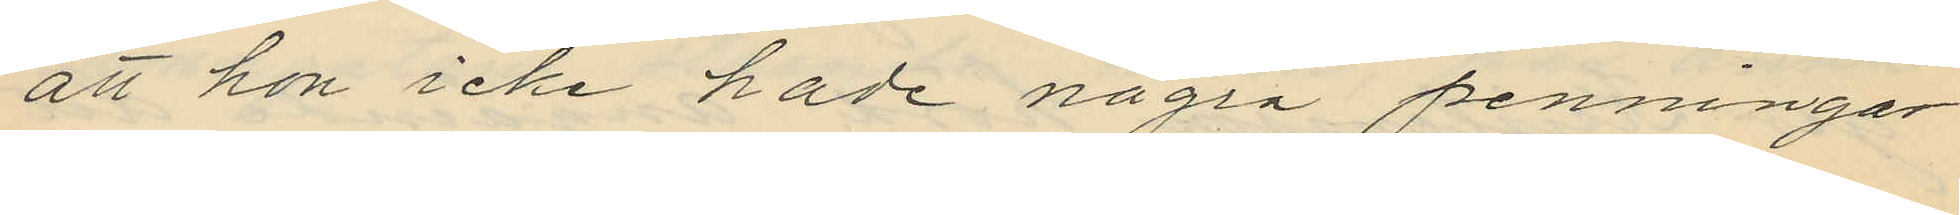att hon icke hade några penningar
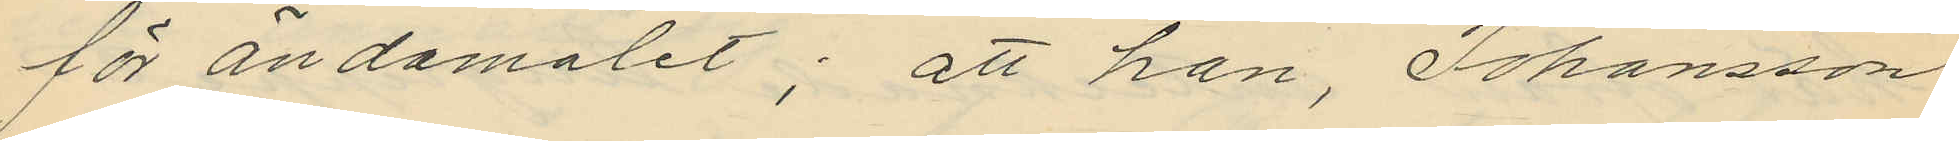för ändamålet; att han, Johansson
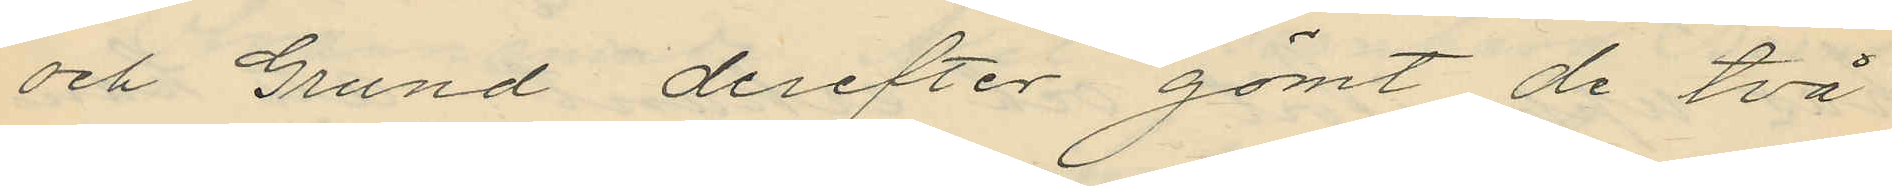och Grund derefter gömt de två
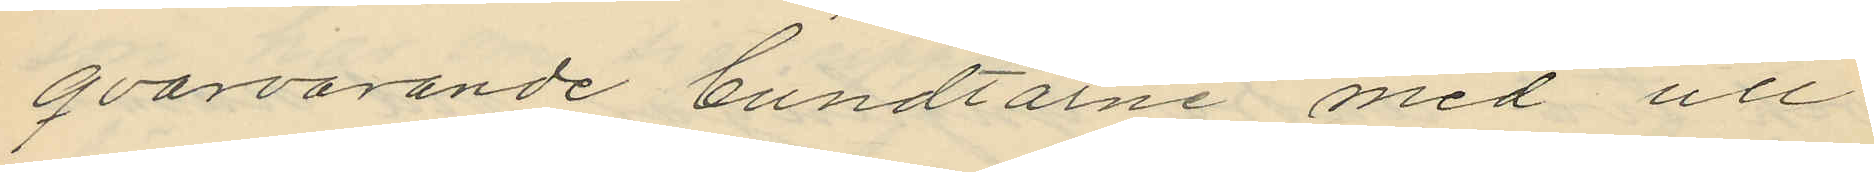qvarvarande bundtarne med ull
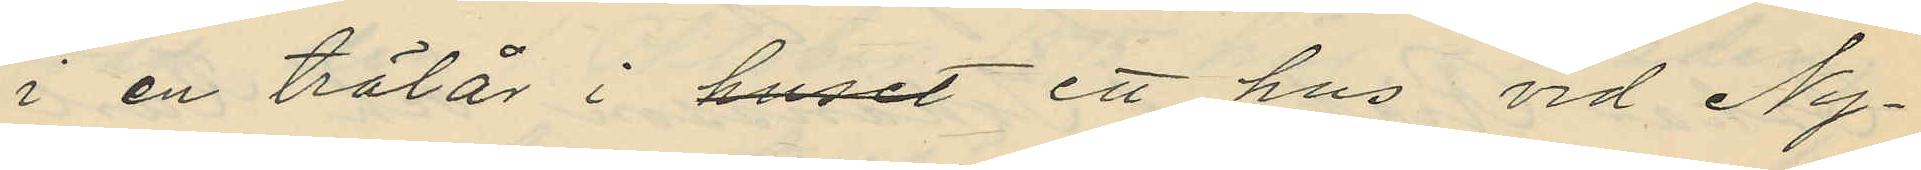i en trälår i huset ett hus vid Ny¬
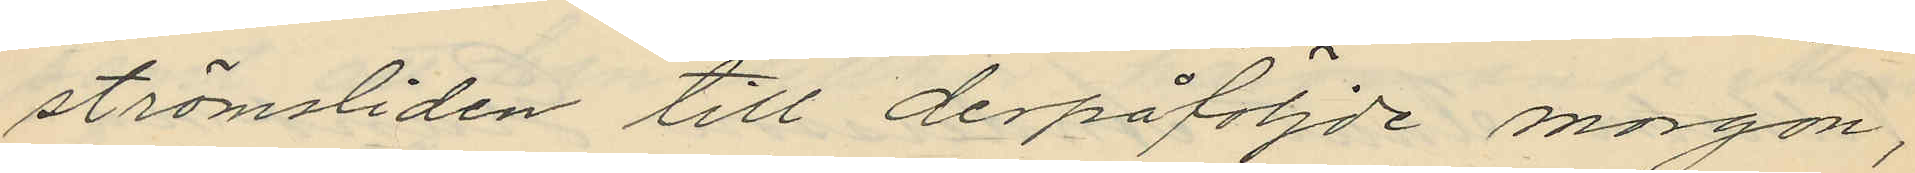strömsliden till derpåföljde morgon,
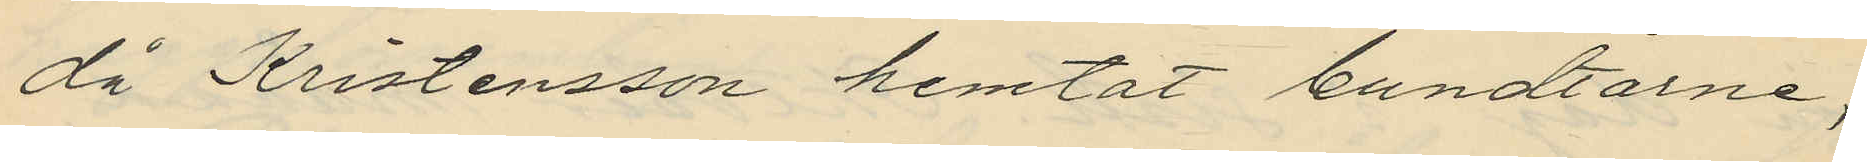då Kristensson hemtat bundtarne,
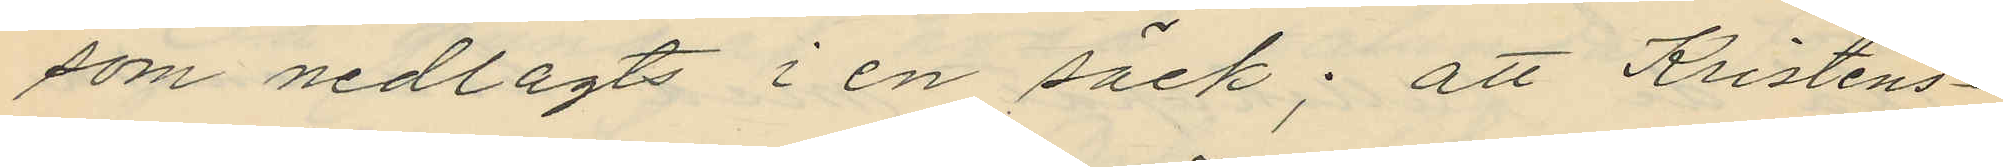som nedlagts i en säck; att Kristens¬
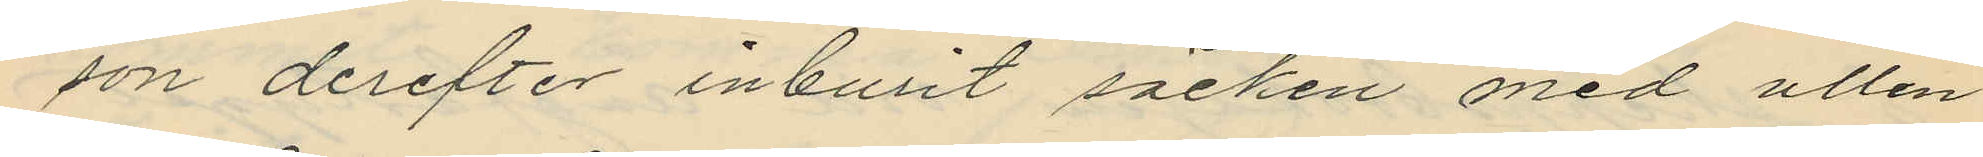son derefter inburit säcken med ullen
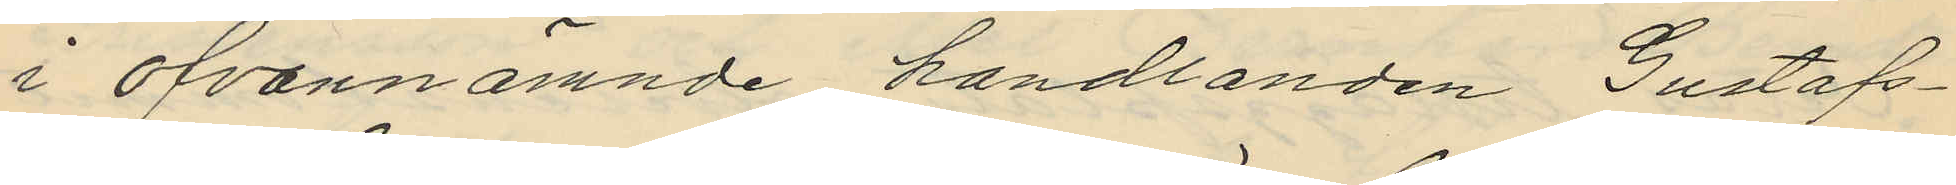i ofvannämnde handlanden Gustafs¬
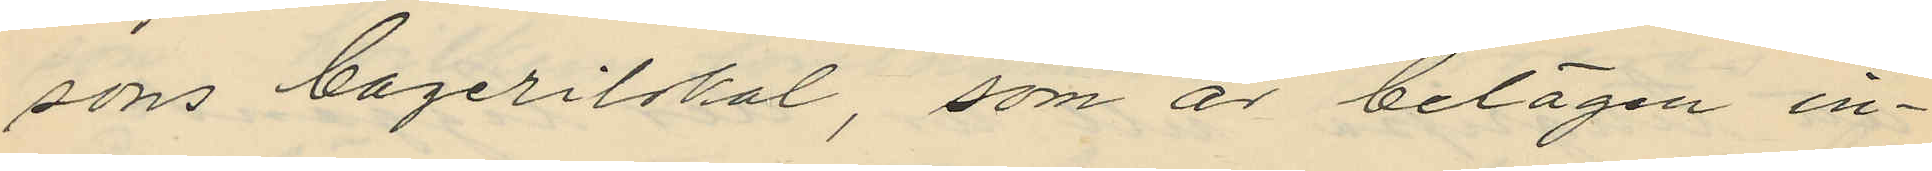sons bagerilokal, som är belägen in¬
